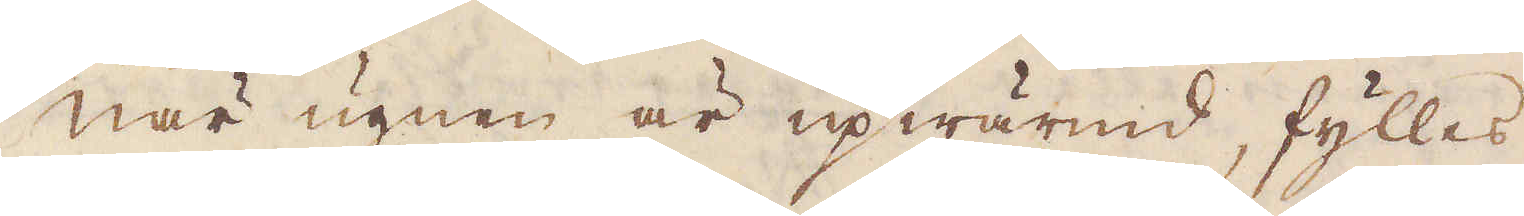När ugnen är upwärmd, fylles
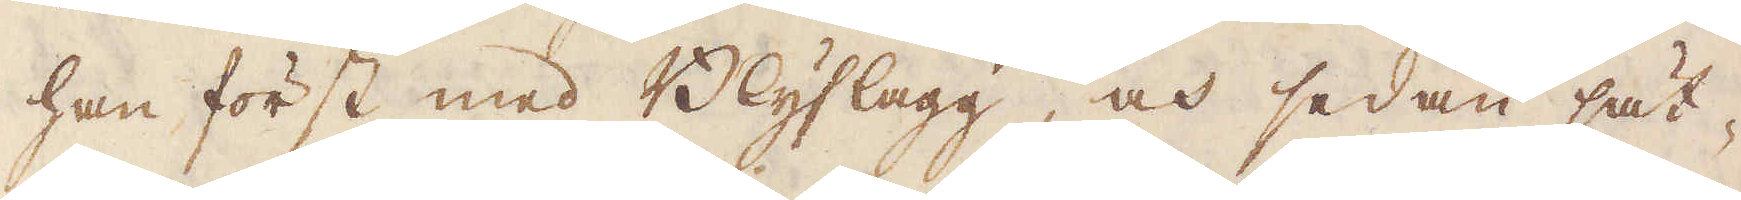han först med Blyslagg, och sedan sät-
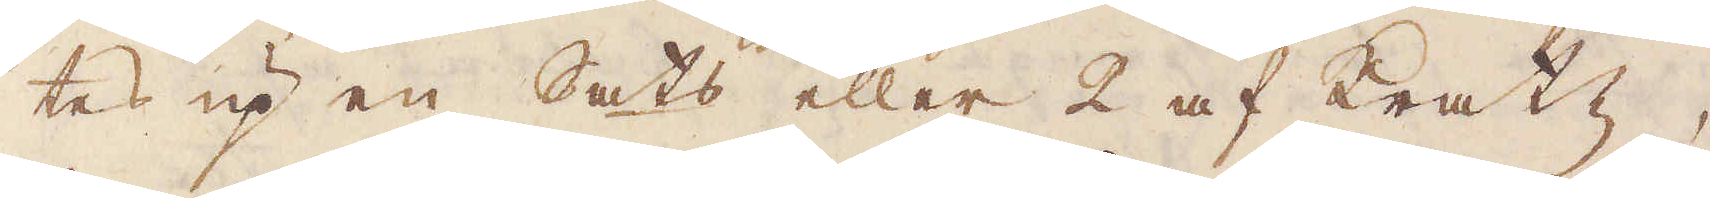tes up en Sats eller 2 af kratz,
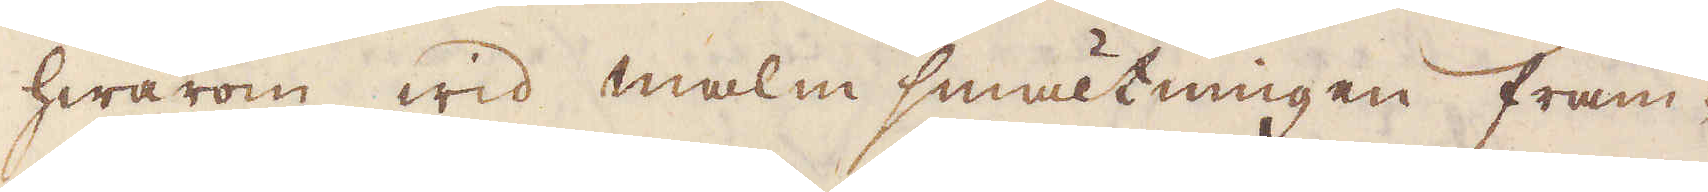hwarom wid malm smältningen fram-
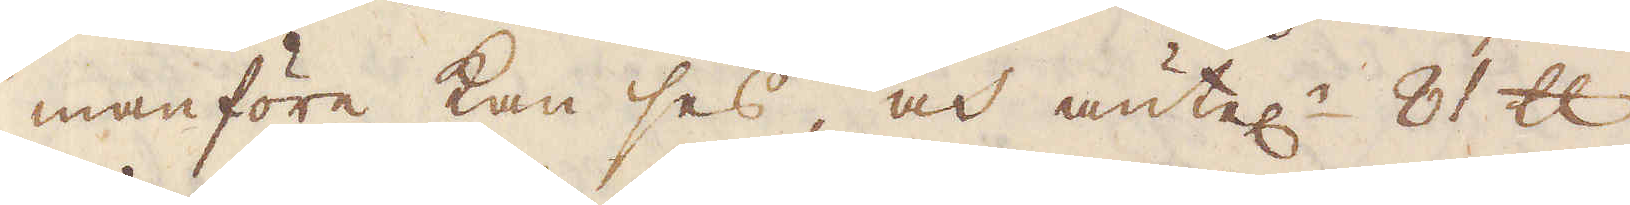manföre kan ses, och äntel:n 81 skålpund
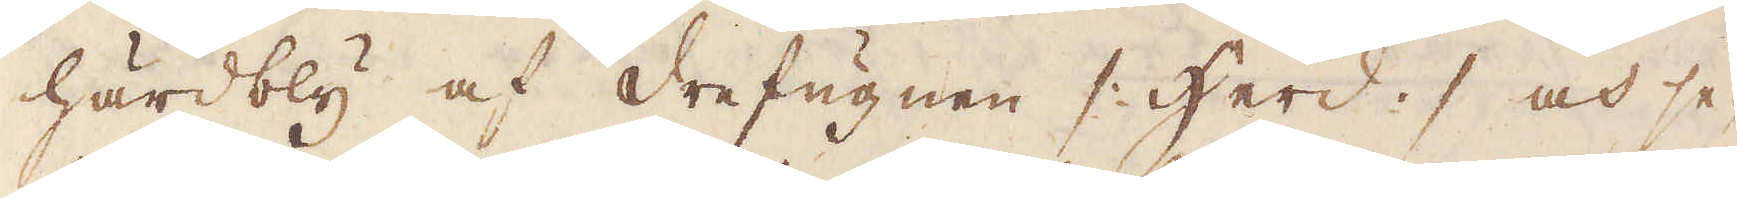härdbly af drefugnen /: Herd :/ och se-
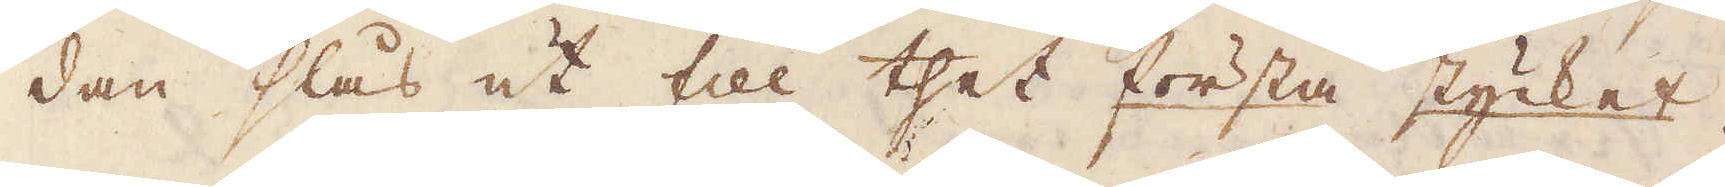dan slås ut till thet första stycket.
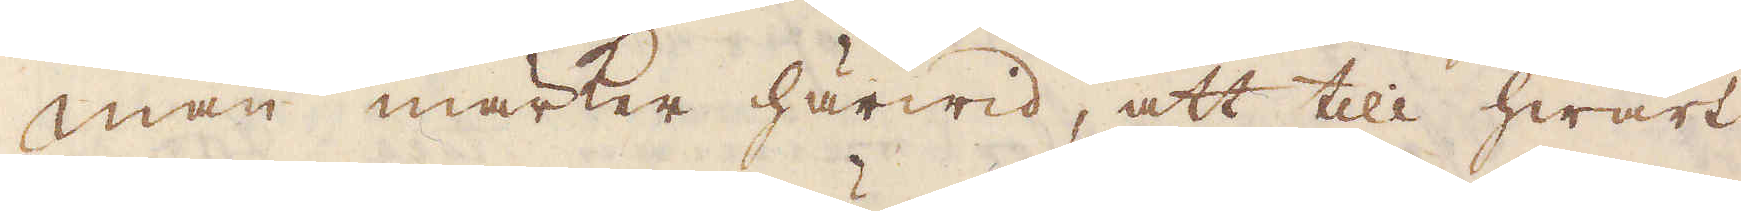Man märker härwid, att till hwart
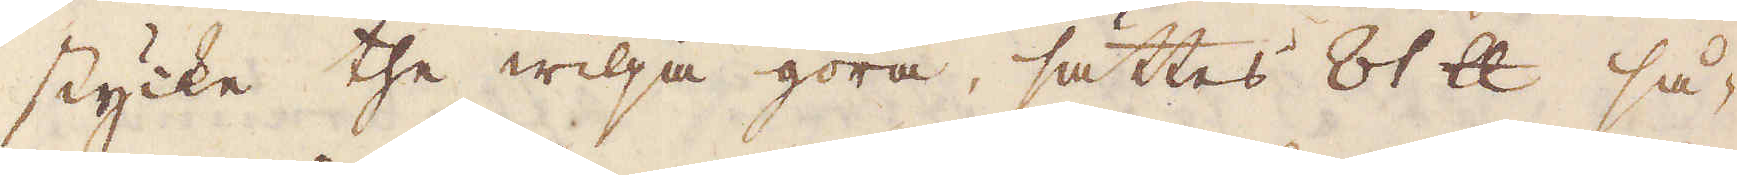stycke the wilja göra, sättes 81 skålpund så-
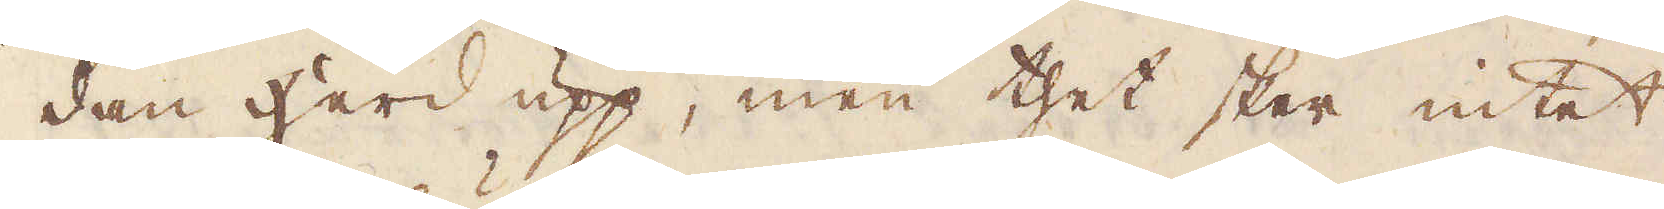dan herd upp, men thet sker intet
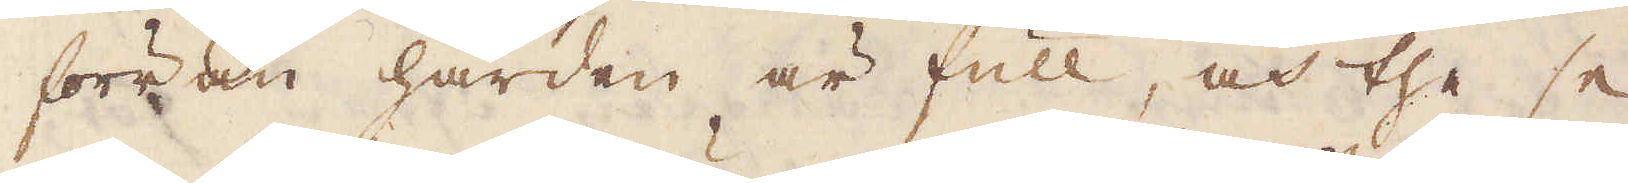förrän härden är full, och the se
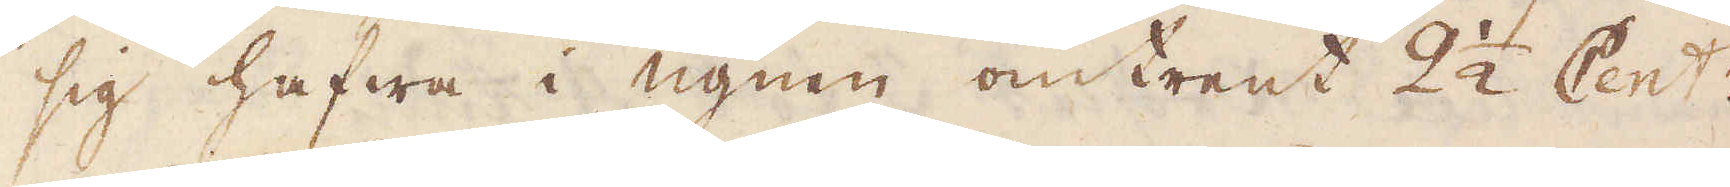sig hafwa i ugnen omtrent 2 1/2 Cent:r
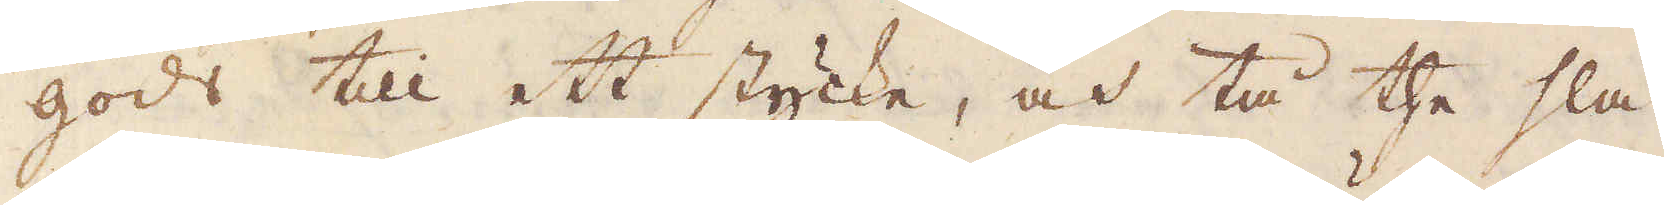godt till ett stycke, och tå the slå
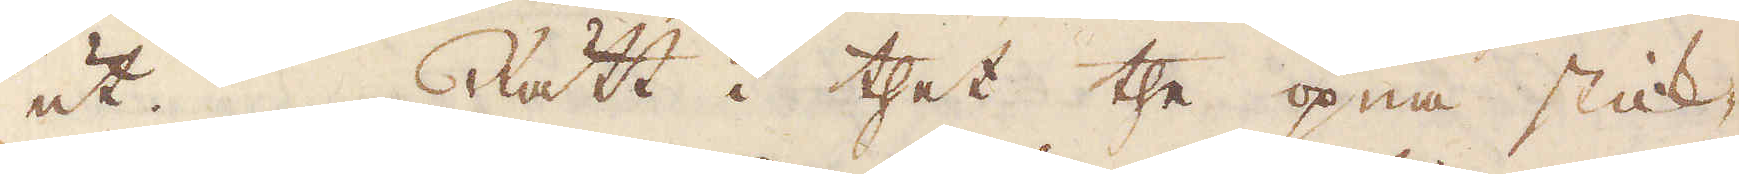ut. Rätt i thet the öpna stick-
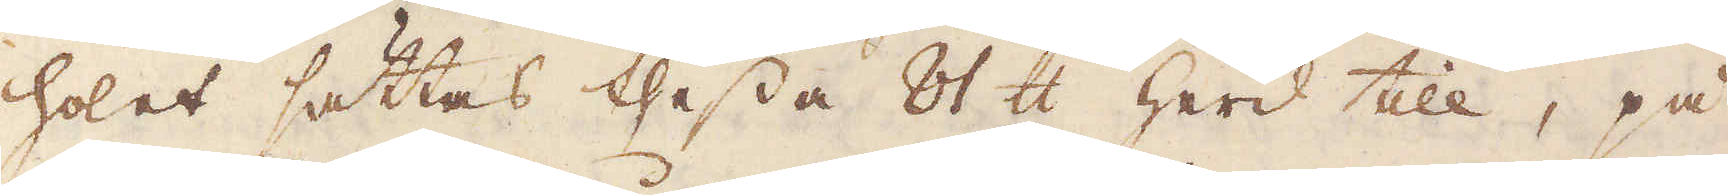holet sättas thessa 81 skålpund herd till, på
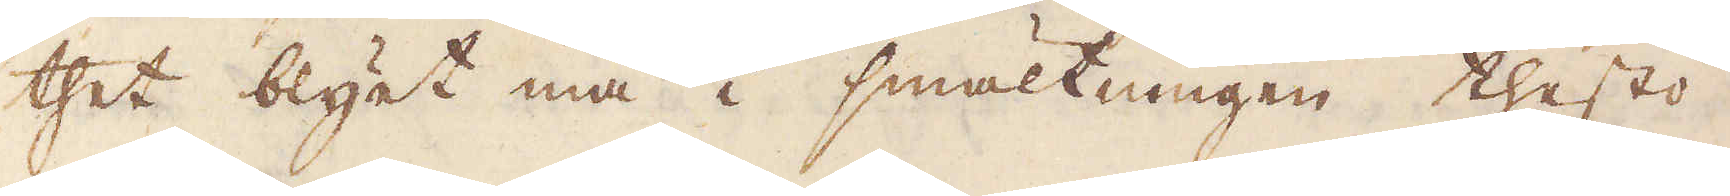thet blyet må i smältningen thesto
